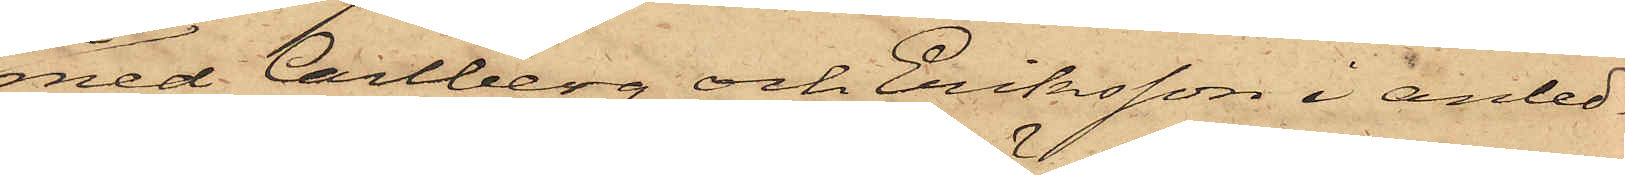med Carlberg och Eriksson i anled¬
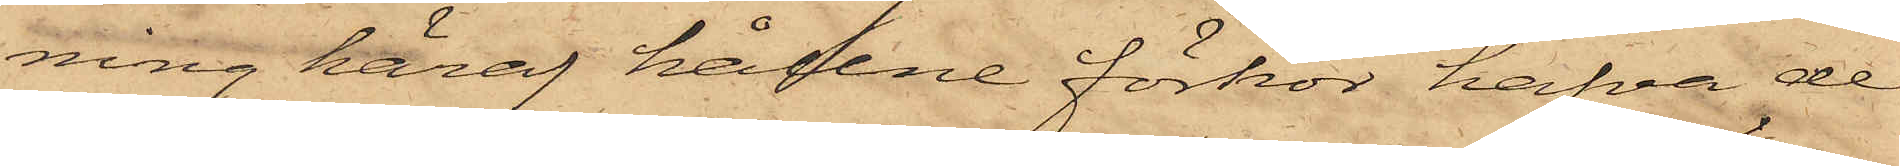ning häraf hållne förhör hafva de
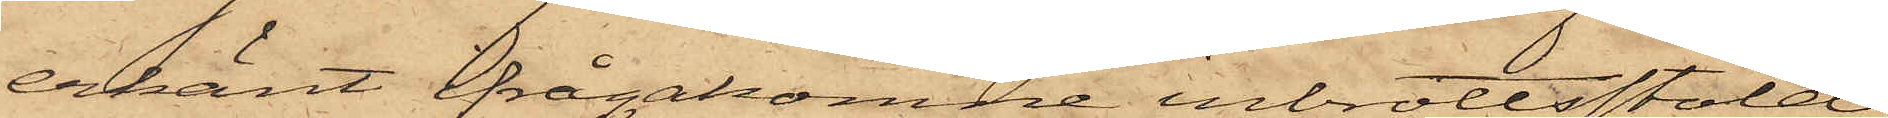erkänt ifrågakomne inbrottsstöld
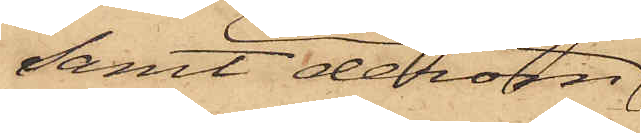samt derom
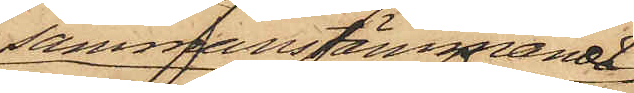sammanstämmande
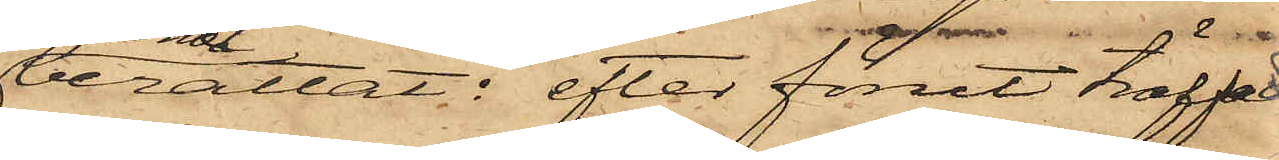berättat: efter förut träffad
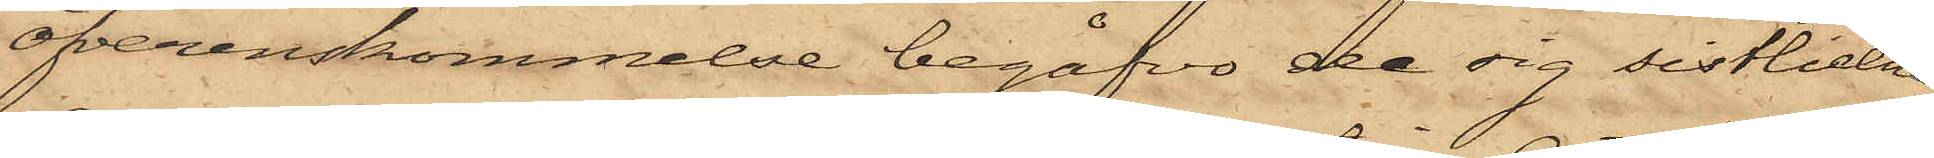öfverenskommelse begåfvo de sig sistlidne
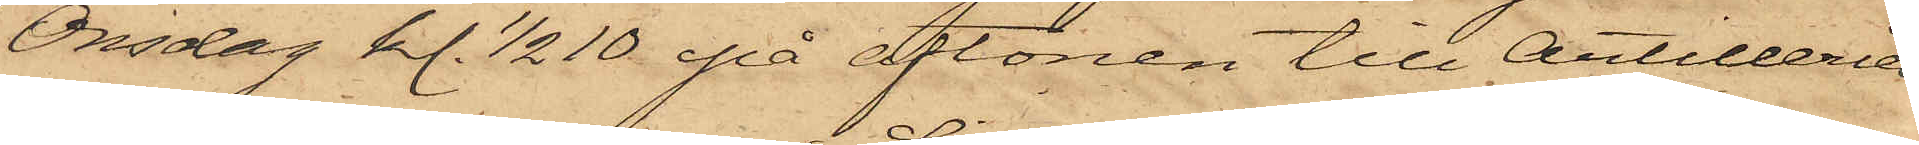Onsdag kl. 1/2 10 på aftonen till Artilleriets
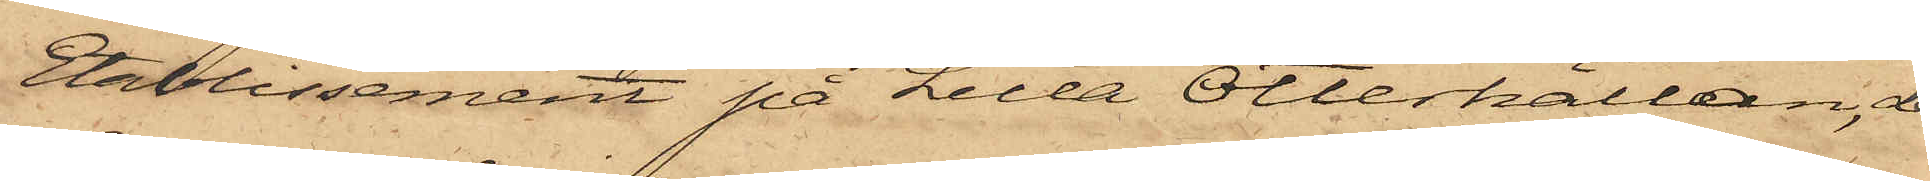Etablissement på Lilla Otterhällan, der
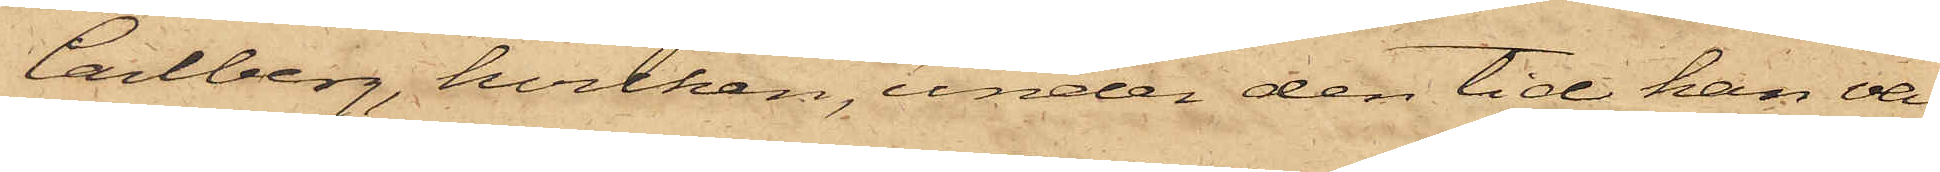Carlberg, hvilken, under den tid han va¬
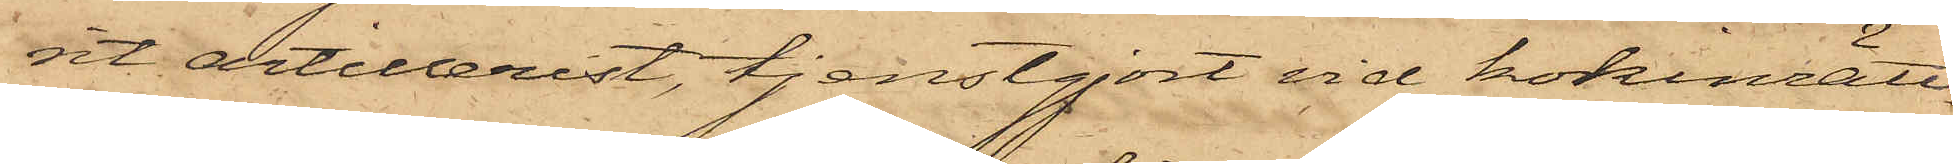rit artillerist, tjenstgjort vid kokinrätt¬
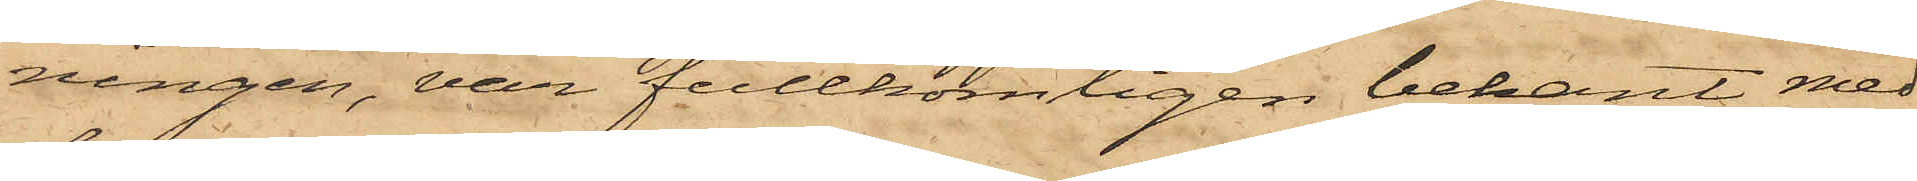ningen, var fullkomligen bekant med
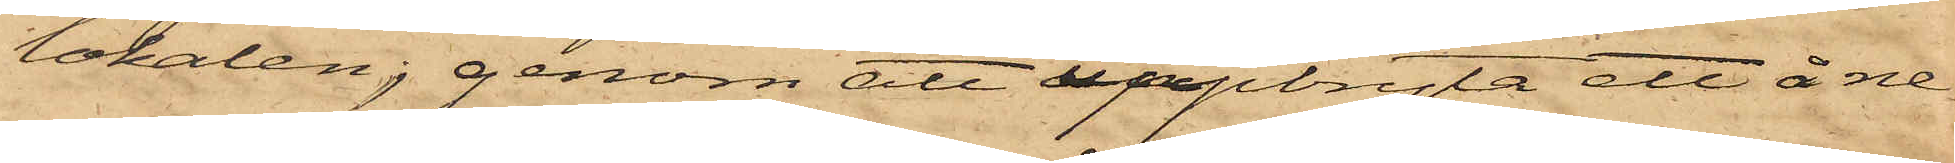lokalen; genom att uppbryta ett å ne¬
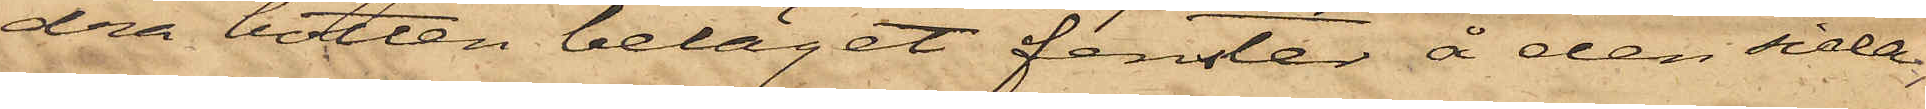dra botten beläget fenster å den sida,
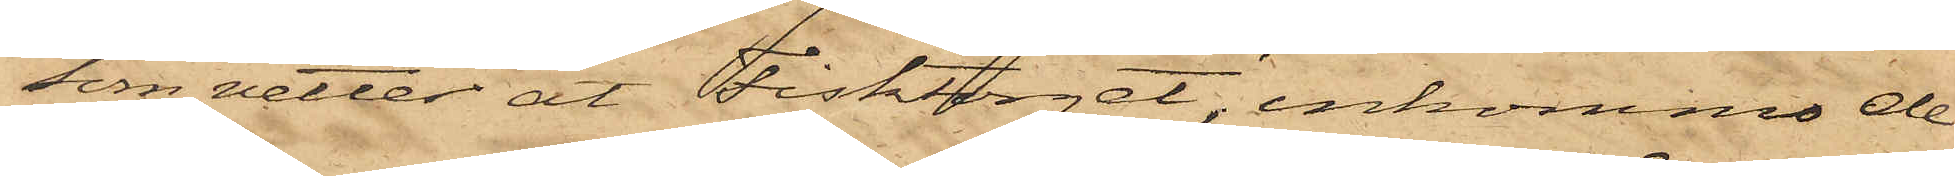som vetter åt Fisktorget, inkommo de
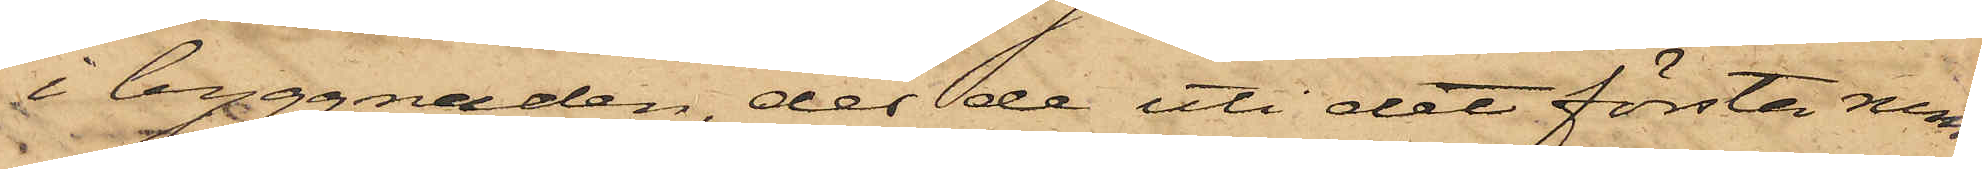i byggnaden, der de uti det första rum,
